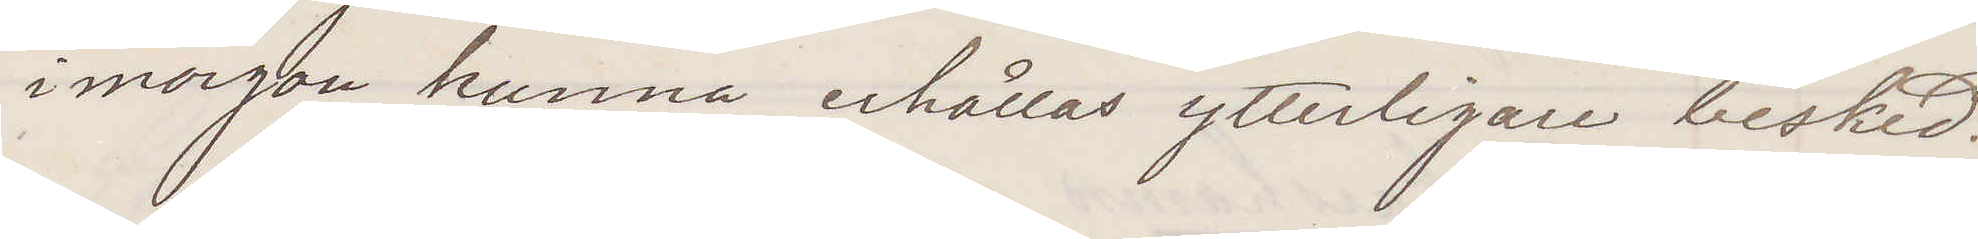i morgon kunna erhållas ytterligare besked.
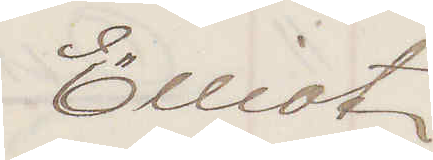Elliot
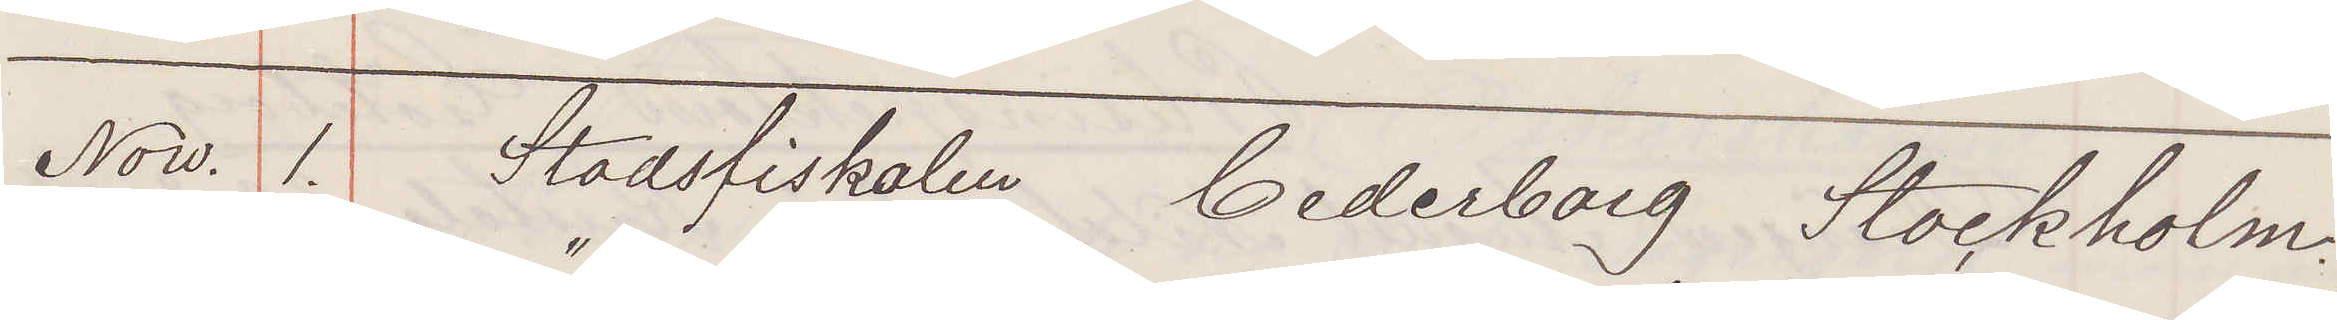Now. 1. Stadsfiskalen Cederborg Stockholm.
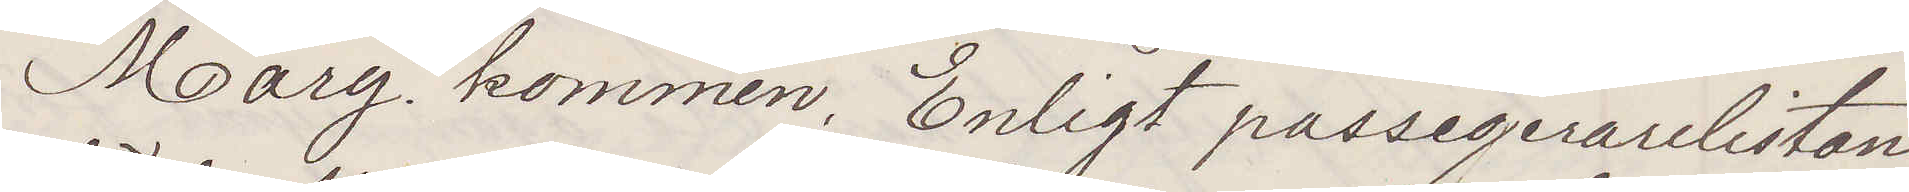"Mary" kommen. Enligt passagerarelistan
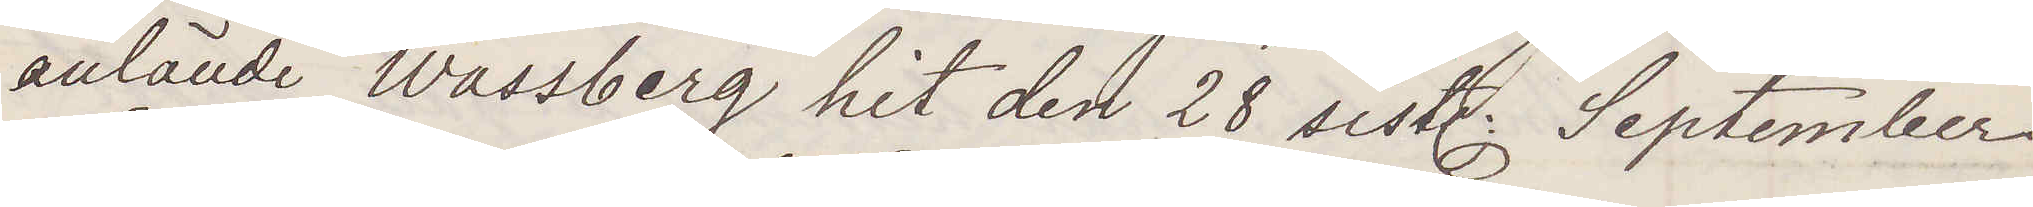anlände Wassberg hit den 28 sist. September.
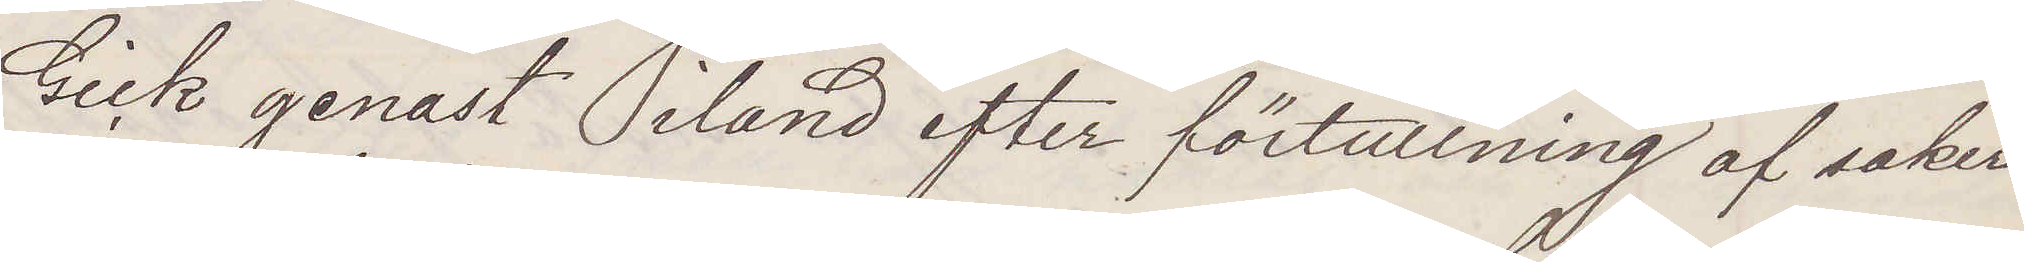Gick genast iland efter förtullning af saker¬
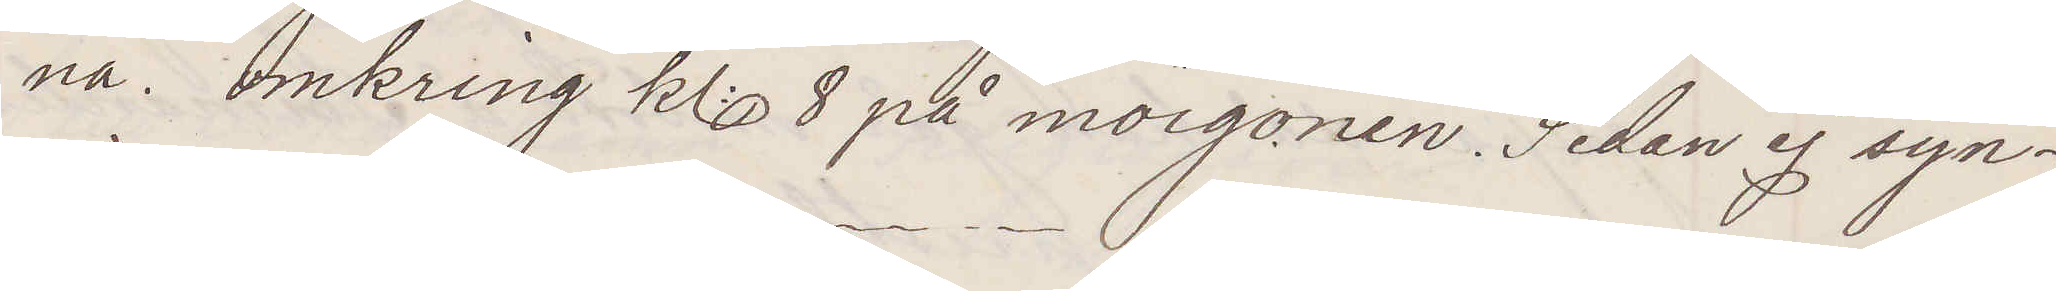na. omkring kl 8 på morgonen. Sedan ej syn¬
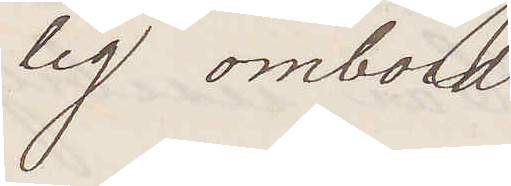lig ombord
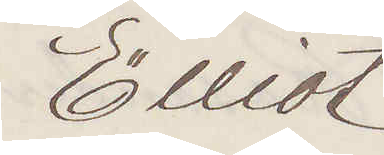Elliot
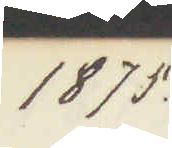1875.
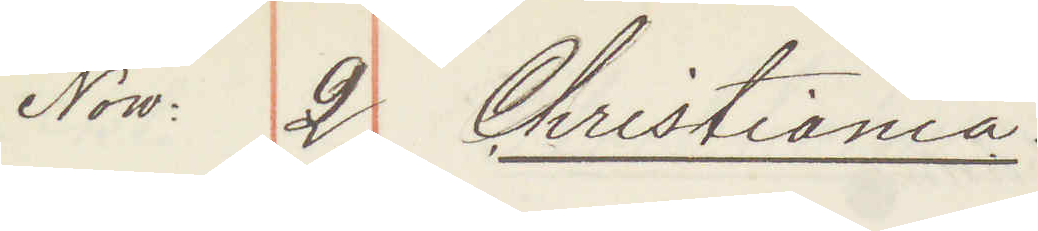Now: 2. Christiania:
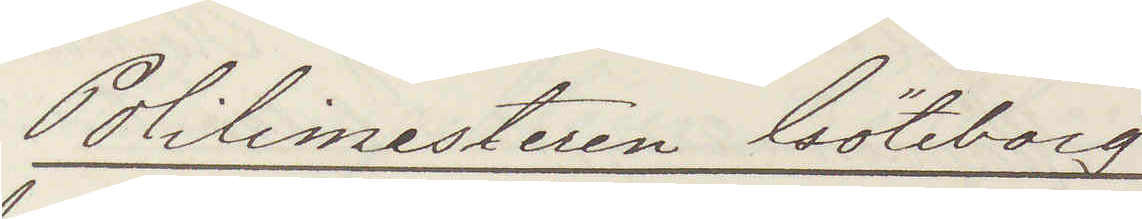Politimesteren Göteborg
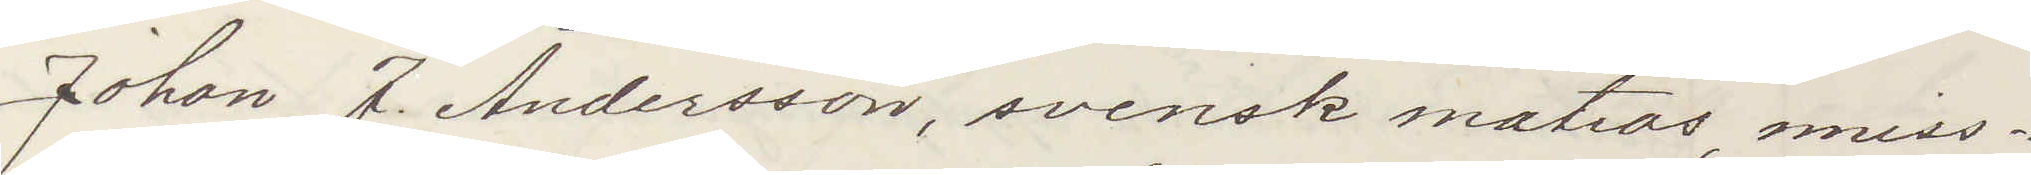Johan J Andersson, svensk matros, miss¬
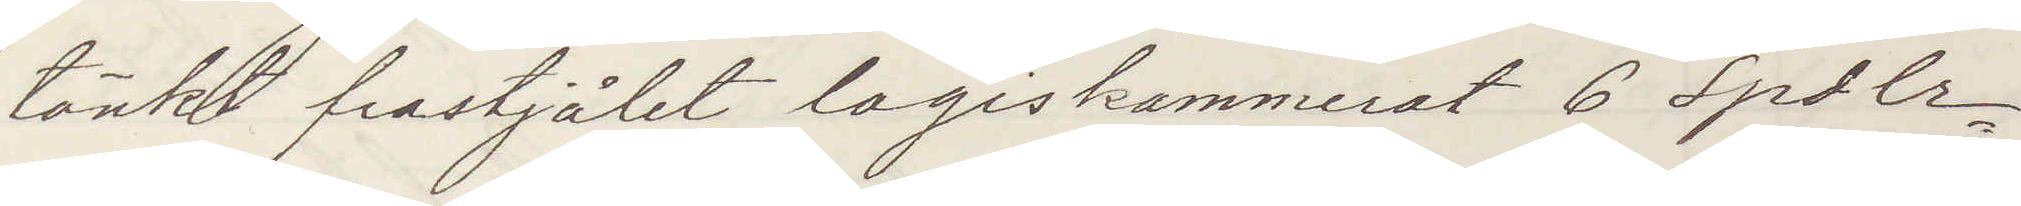tänkt frastjålet logiskammerat 6 Spdlr,
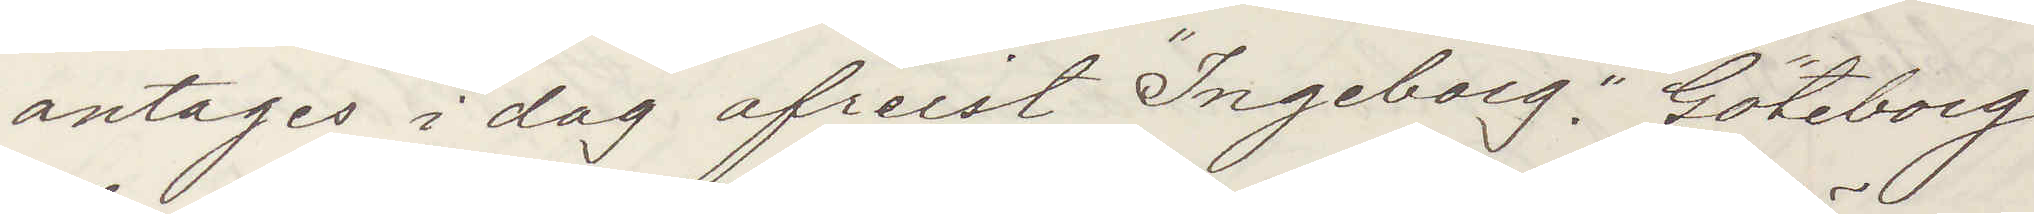antages i dag afreist "Ingeborg" Göteborg
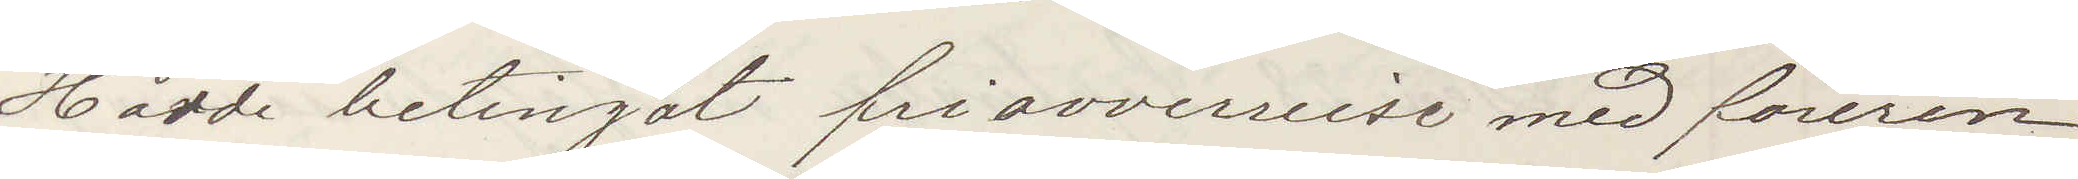Hadde betingat friavverreise med föreren.
